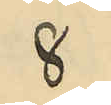8
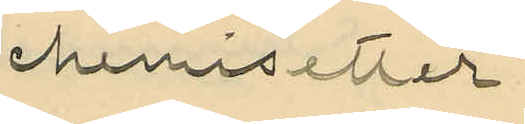chemisetter
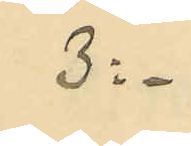3:-
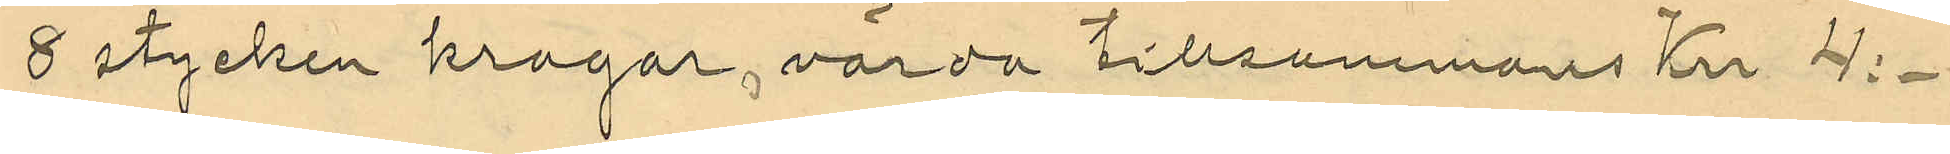8 stycken kragar, värda tillsammans Kr 4:-
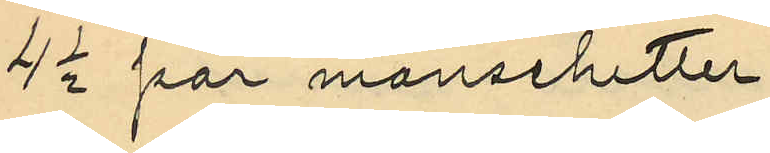4 1/2 par manschetter
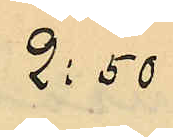2:50
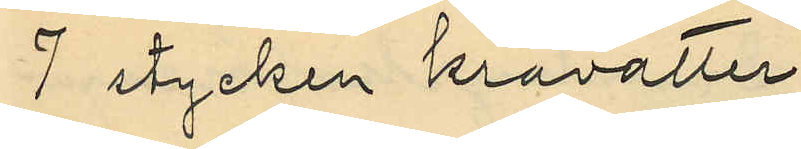7 stycken kravatter
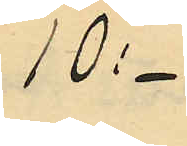10:-
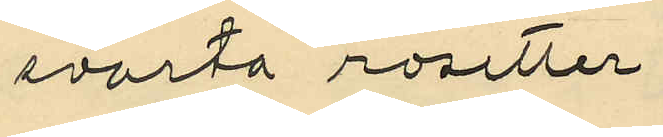svarta rosetter
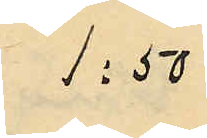1:50
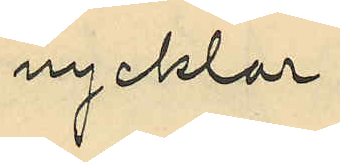nycklar
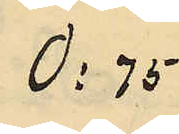0:75
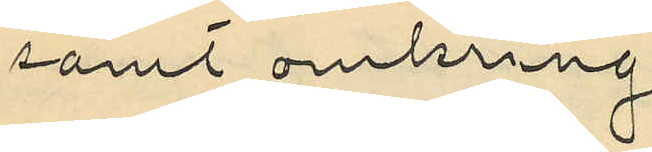samt omkring
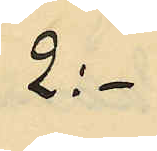2:-
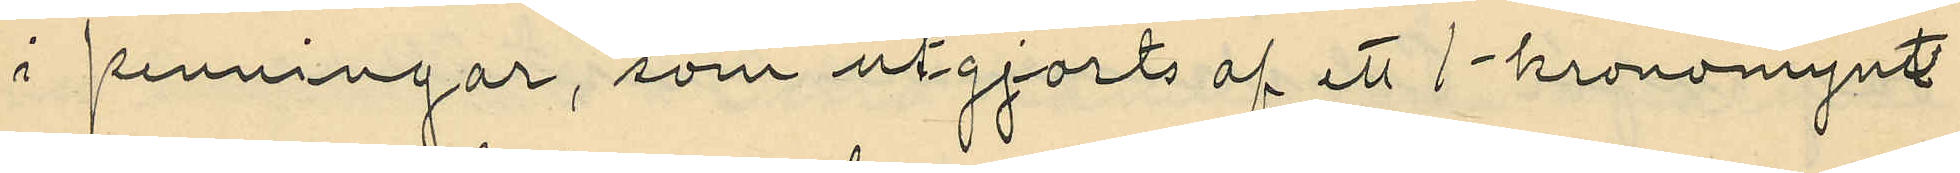i penningar, som utgjorts af ett 1-kronomynt
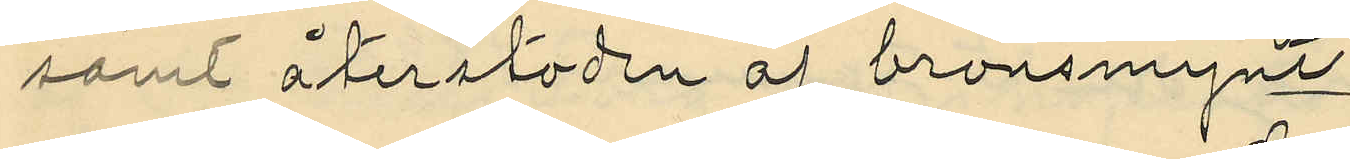samt återstoden af bronsmynt
